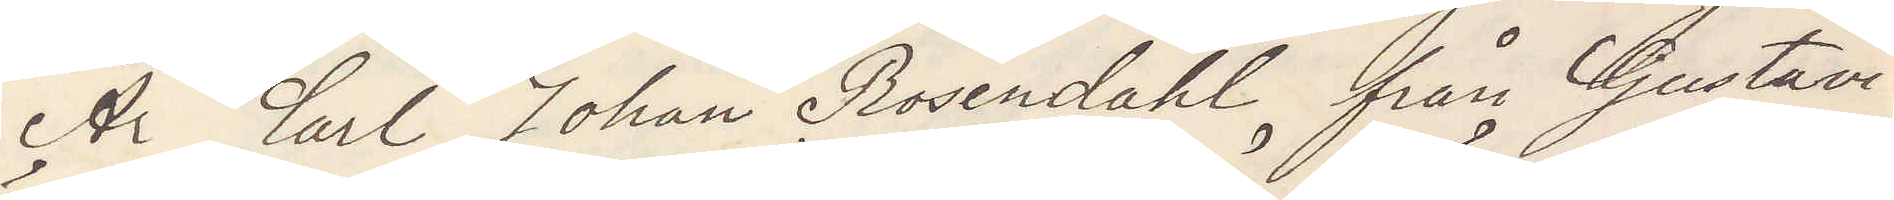Är Carl Johan Rosendahl från Gustavi
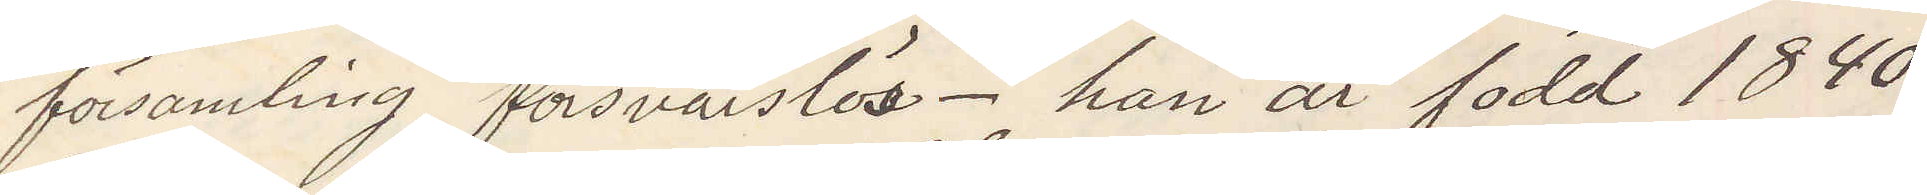församling försvarslös. han är född 1840
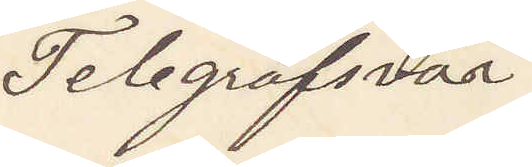Telegrafsvar.
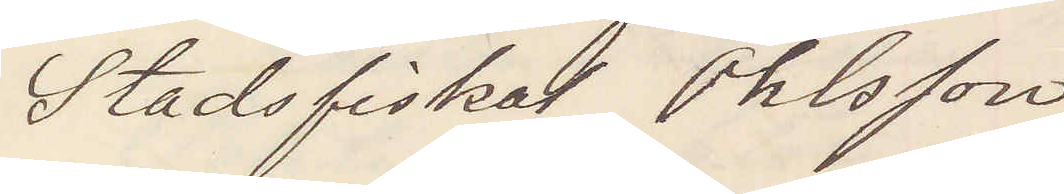Stadsfiskal Ohlsson
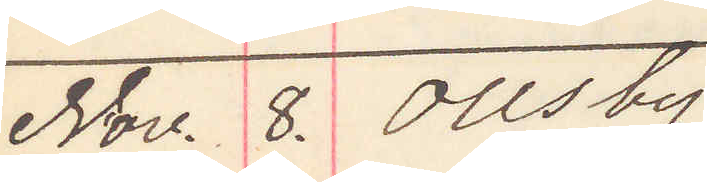Nov. 8. Ollsby
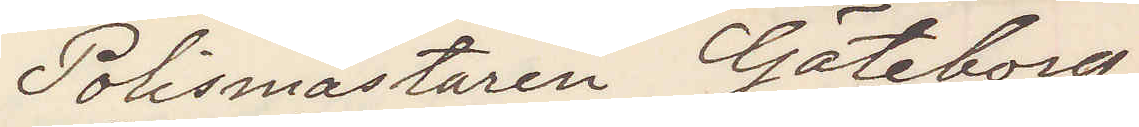Polismästaren Göteborg
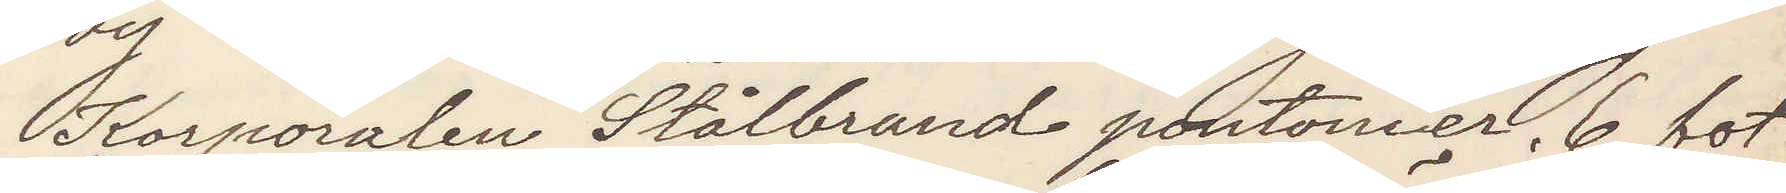Korpralen Stålbrand pontonier, 6 fot
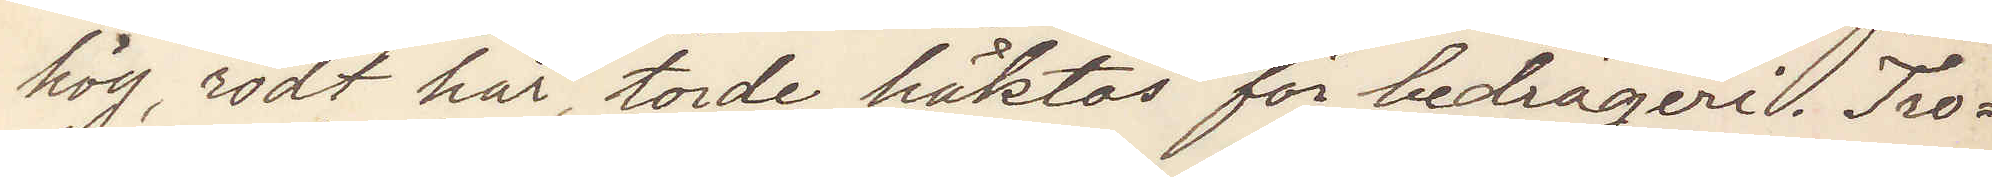hög, rödt hår, torde häktas för bedrägeri. Tro¬
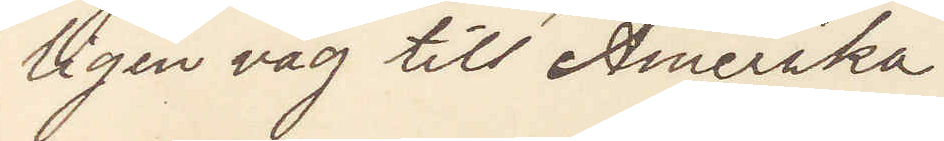ligen väg till Amerika.
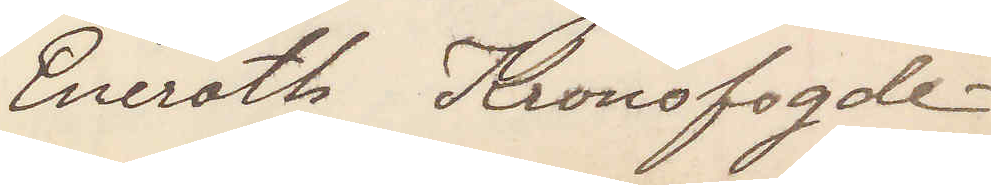Eneroth Kronofogde
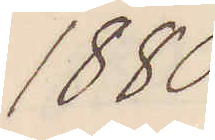1880
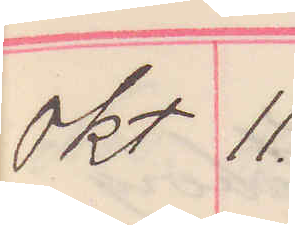Okt 11.
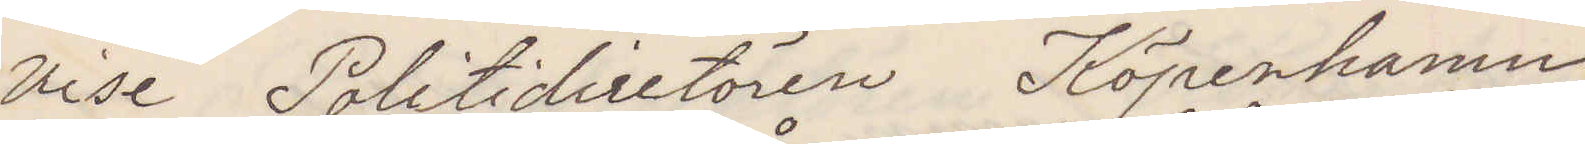vise Politidirektören Köpenhamn
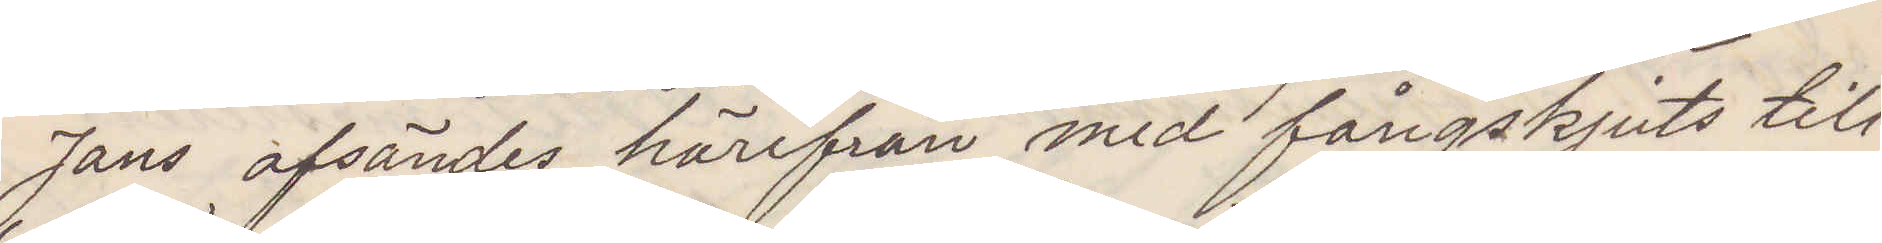Jans afsändes härifrån med fångskjuts till
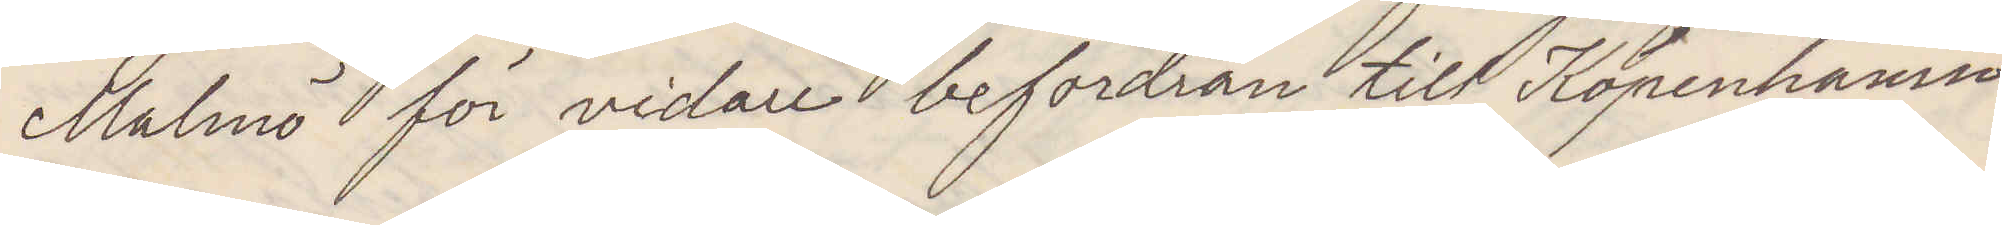Malmö för vidare befordran till Kopenhamn
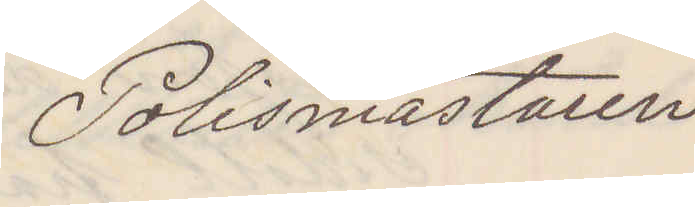Polismästaren
